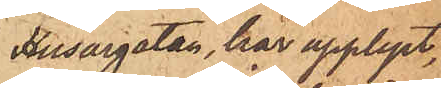Husargatan, har upplyst,
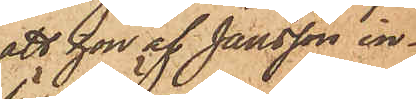att hon af Jansson in¬
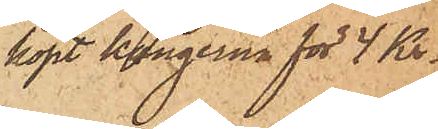köpt kängorne för 4 Kr.
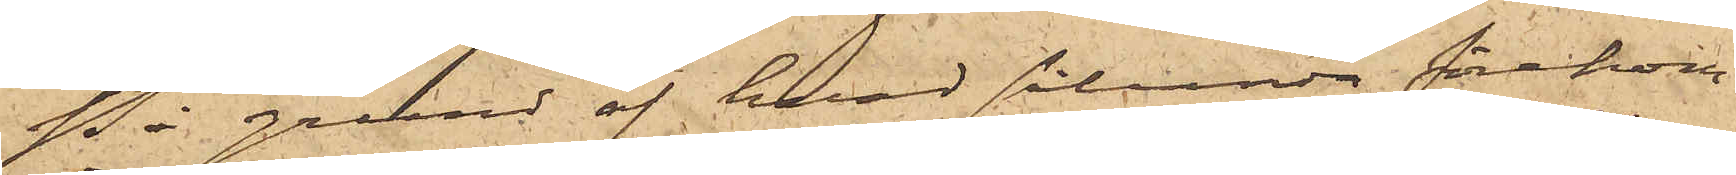På grund af hvad sålunda förekom¬
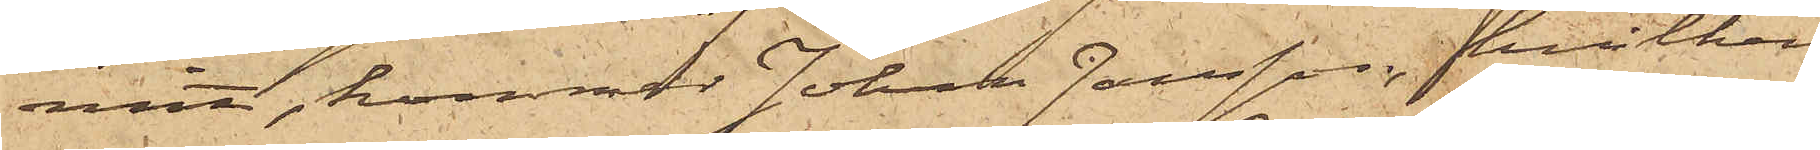mit, kommer Johan Jansson, hvilken
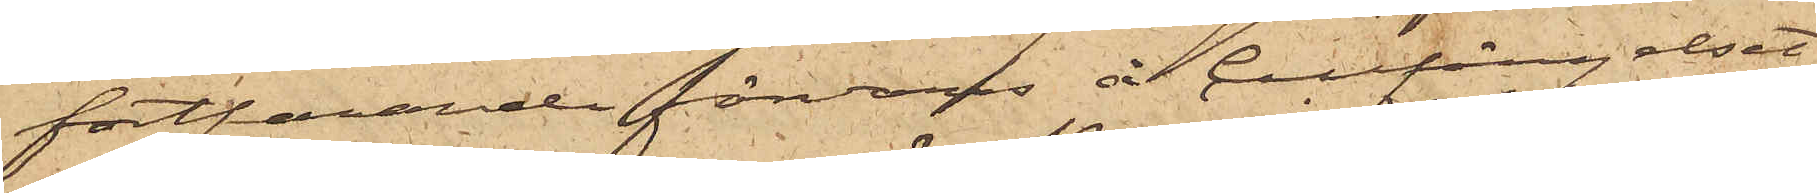fortfarande förvaras å Cellfängelset,
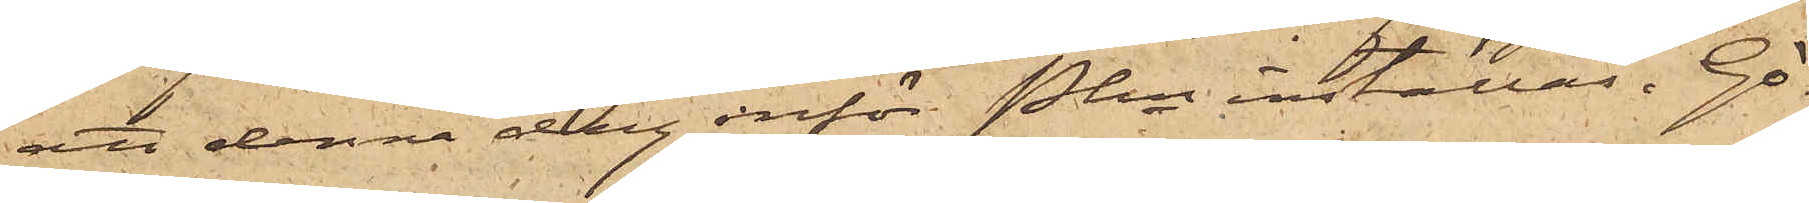att denna dag inför Pkn inställas. Gö¬
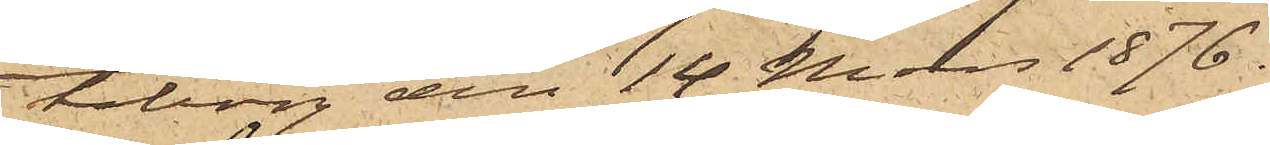teborg den 14 Mars 1876.
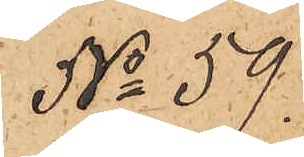No 59.
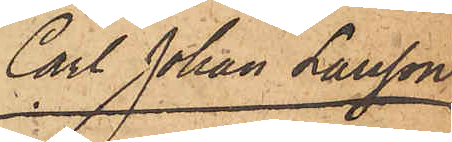Carl Johan Larsson
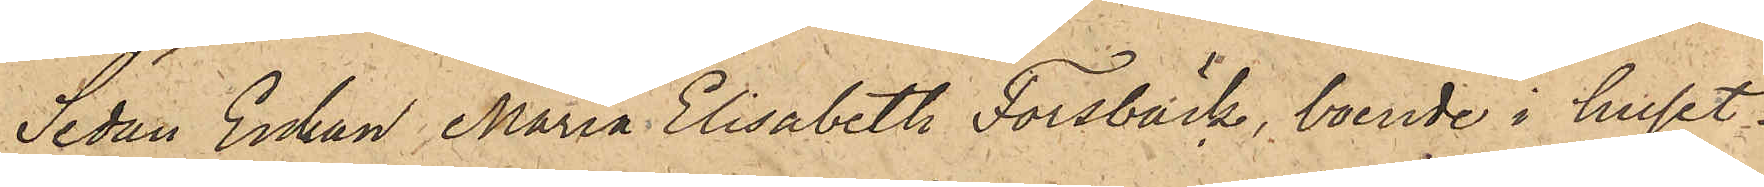Sedan Enkan Maria Elisabeth Forsbäck, boende i huset.
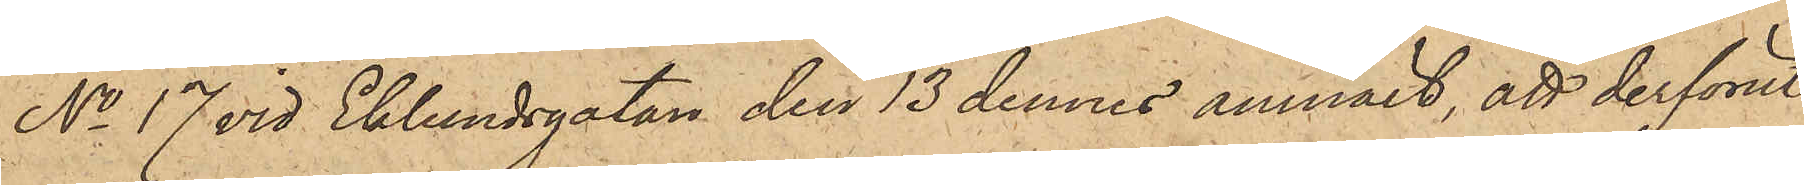No 17 vid Eklundsgatan den 13 dennes anmält, att derförut¬
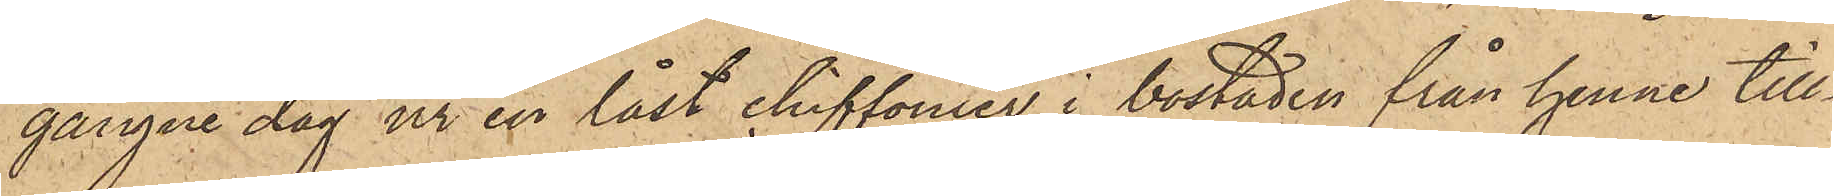gångne dag ur en låst chiffonier i bostaden från henne till¬
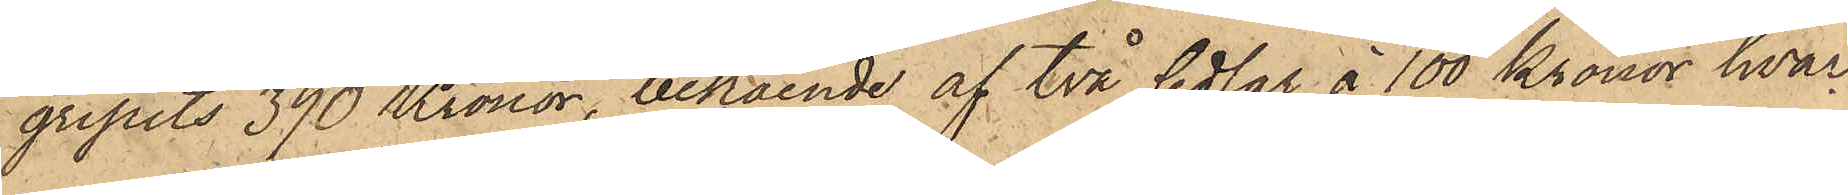gripits 390 Kronor, bestående af två sedlar à 100 Kronor hvar¬
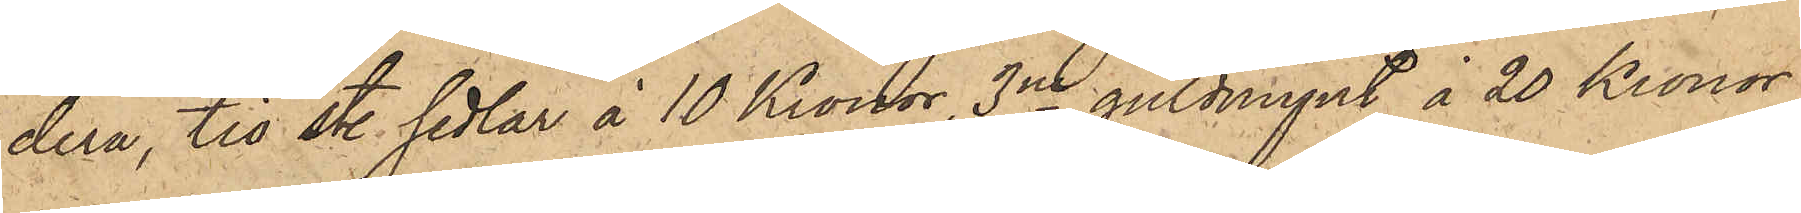dera, tio sty. sedlar à 10 Kronor, 3ne guldmynt à 20 Kronor
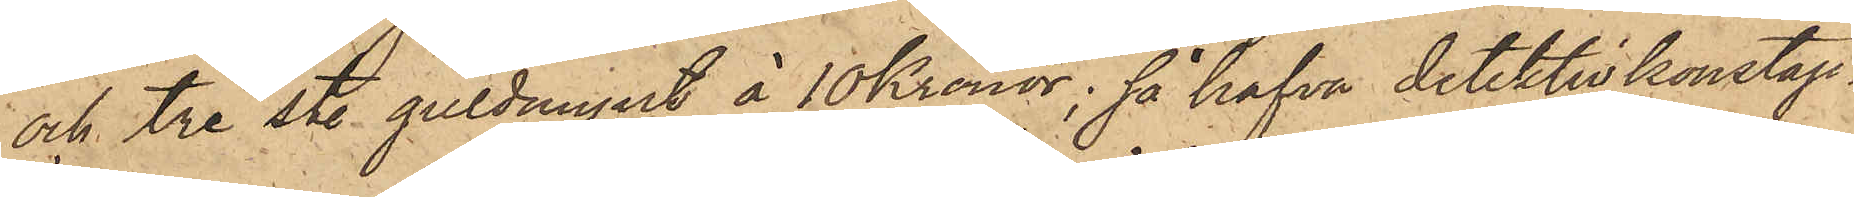och tre sty. guldmynt à 10 Kronor; så hafva detektivkonstap¬
